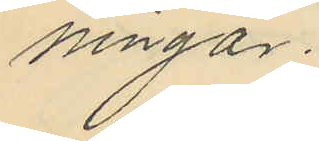ningar.
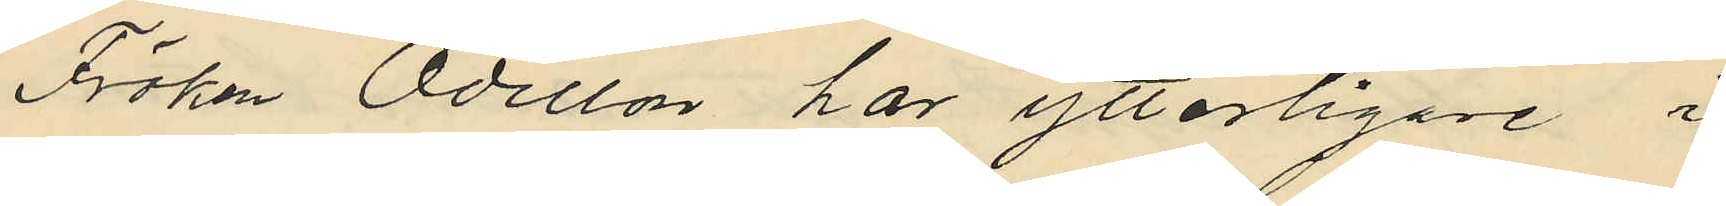Fröken Odillon har ytterligare i
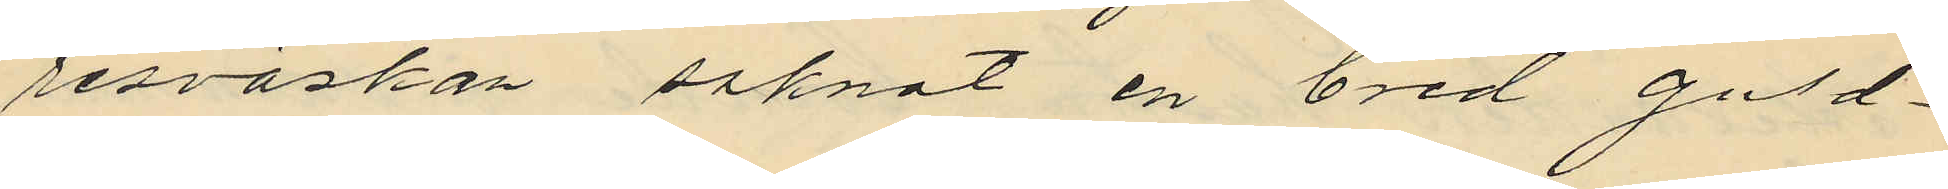resväskan saknat en bred guld¬
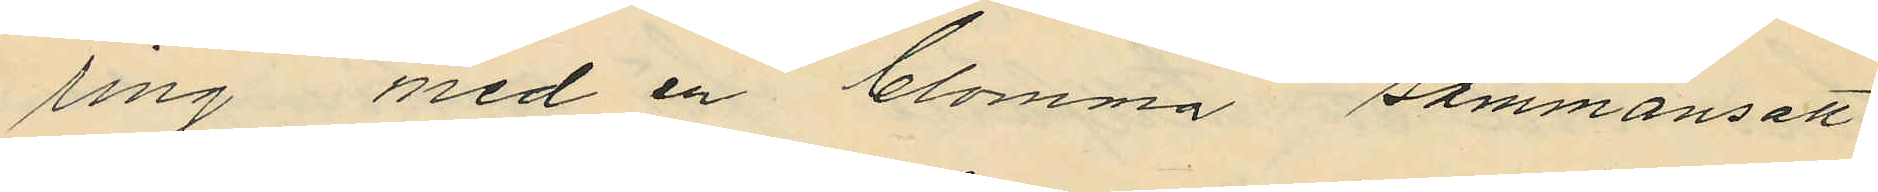ring med en blomma sammansatt
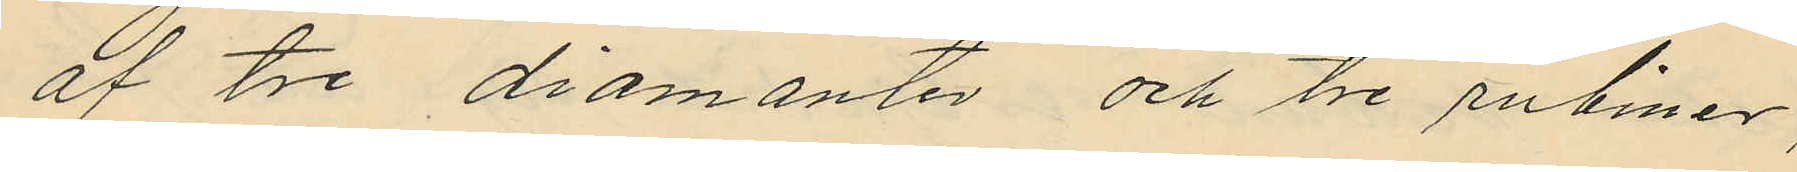af tre diamanter och tre rubiner,
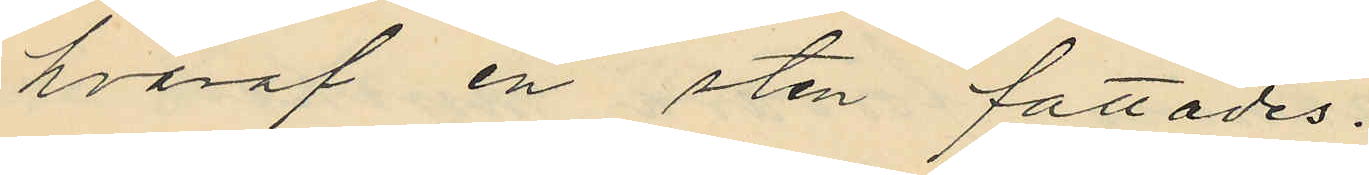hvaraf en sten fattades.
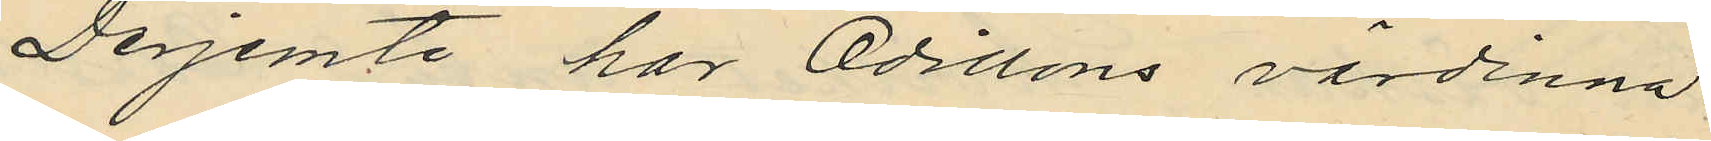Derjemte har Odillons värdinna
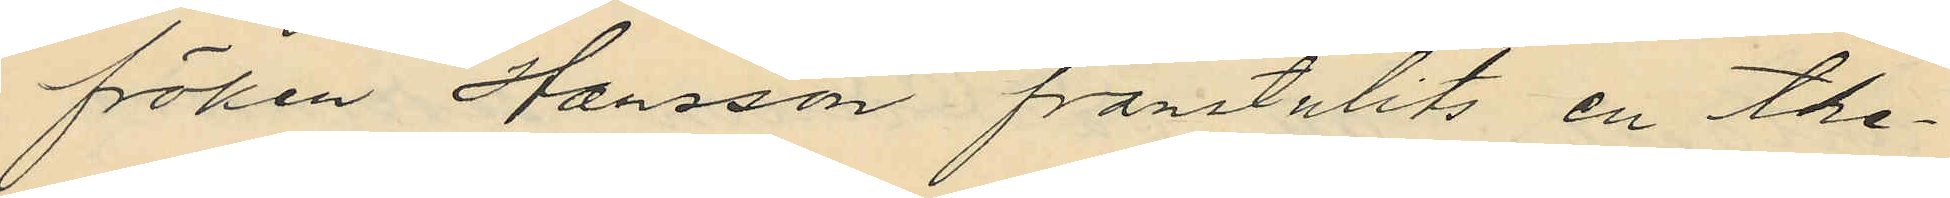fröken Hansson frånstulits en the¬
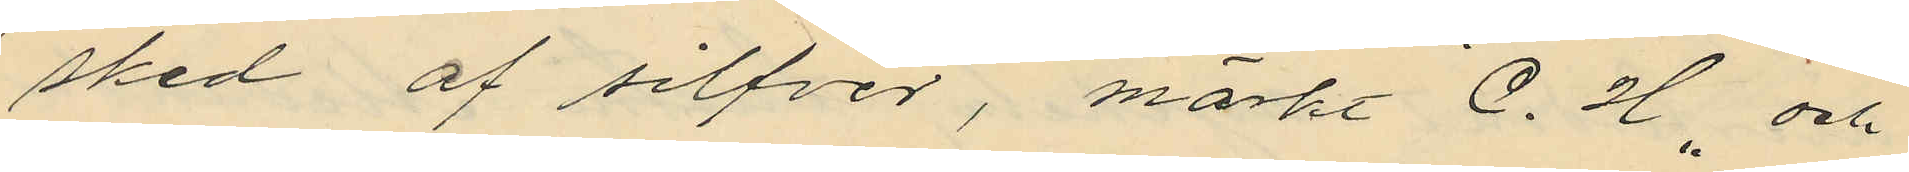sked af silfver, märkt "C. H" och
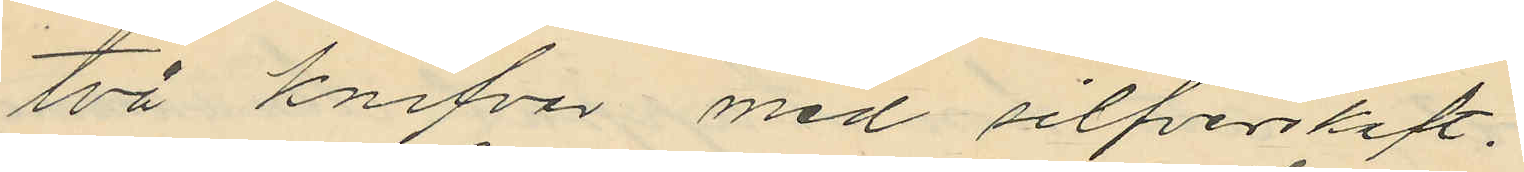två knifvar med silfverskaft.
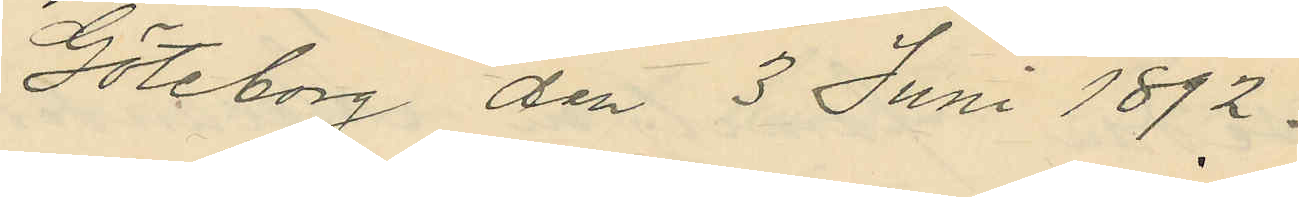Göteborg den 3 Juni 1892.
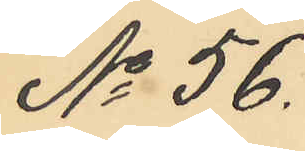No 56.
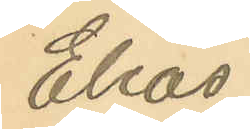Elias
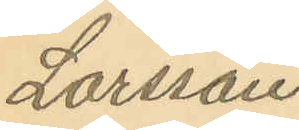Larsson
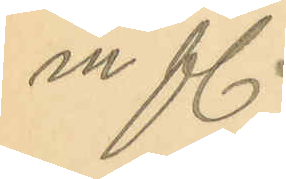m fl.
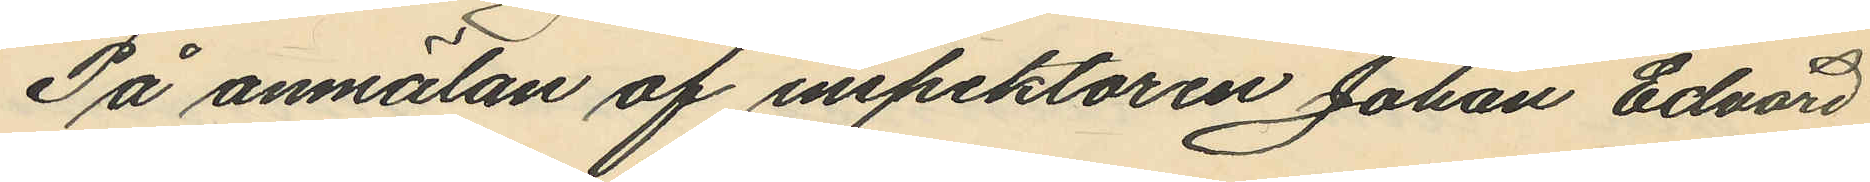På anmälan af inspektoren Johan Edvard
